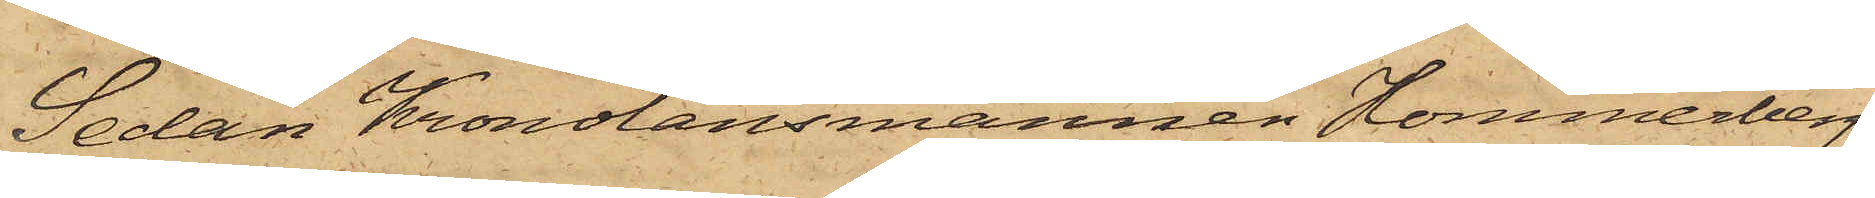Sedan Kronolänsmannen Hommerberg
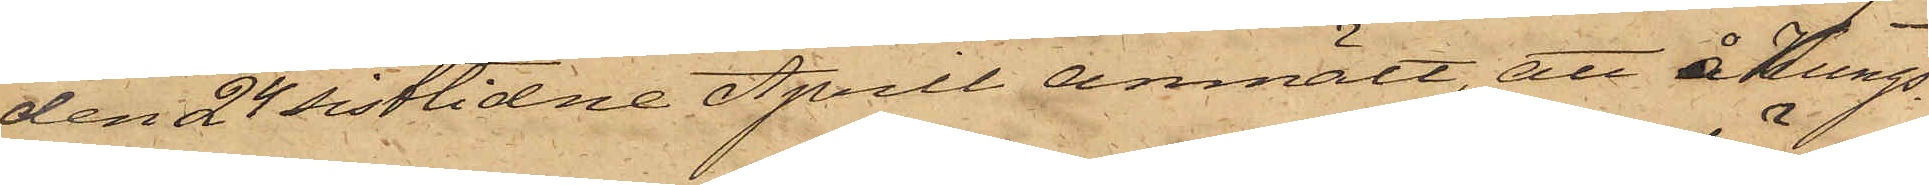den 24 sistlidne April anmält, att å Kungs¬
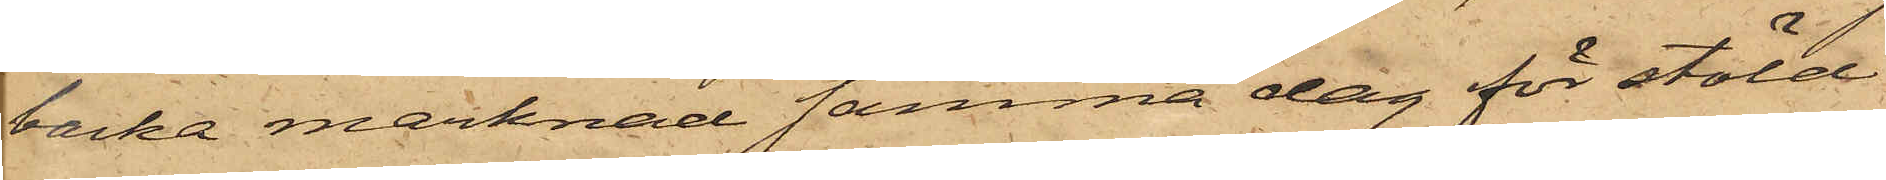backa marknad samma dag för stöld
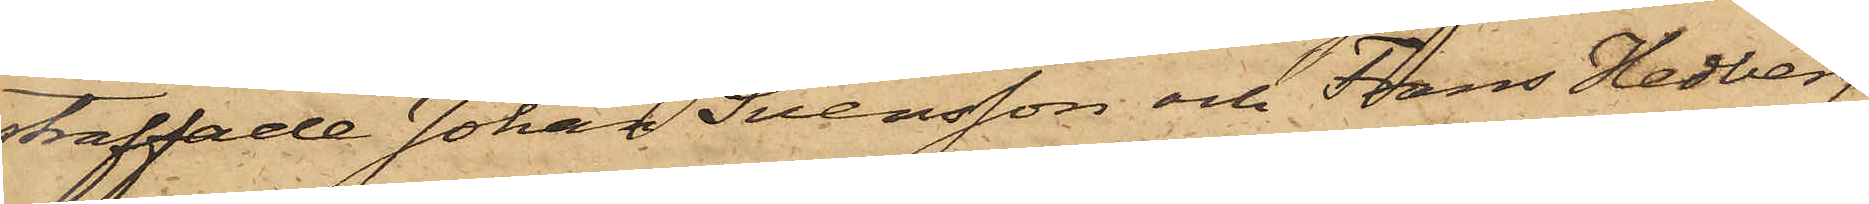straffade Johan Svensson och Frans Hedberg
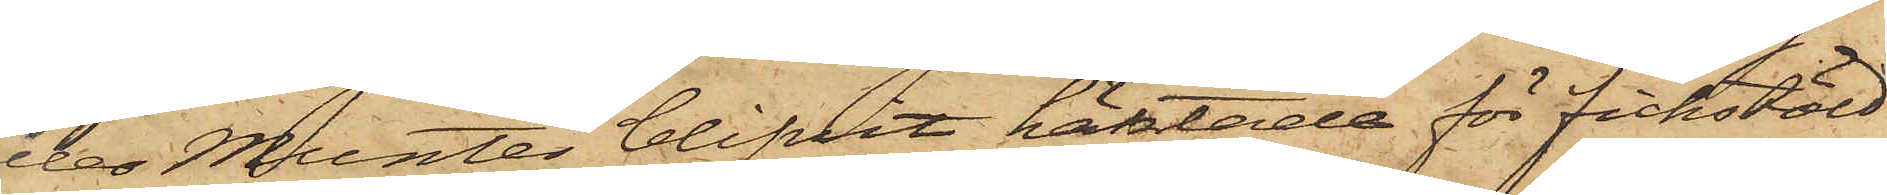eller Munter blifvit häktade för fickstöld
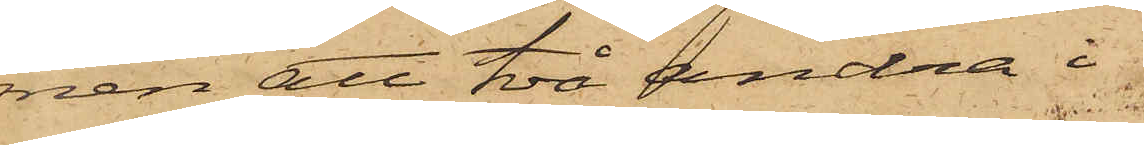men att två andra i 
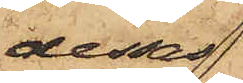dessas
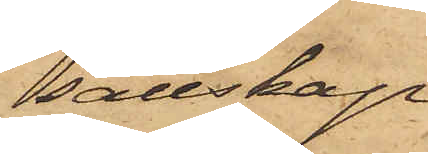sällskap
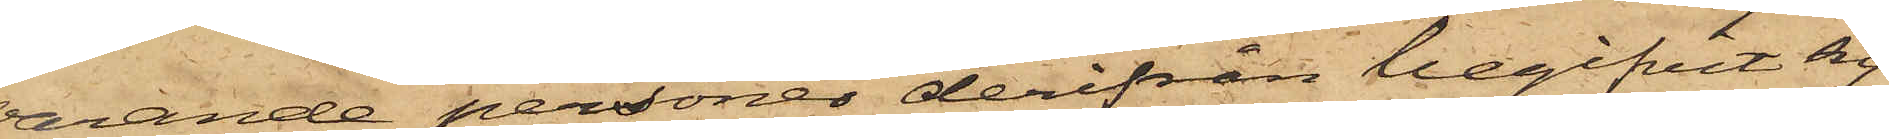varande personer derifrån begifvit sig
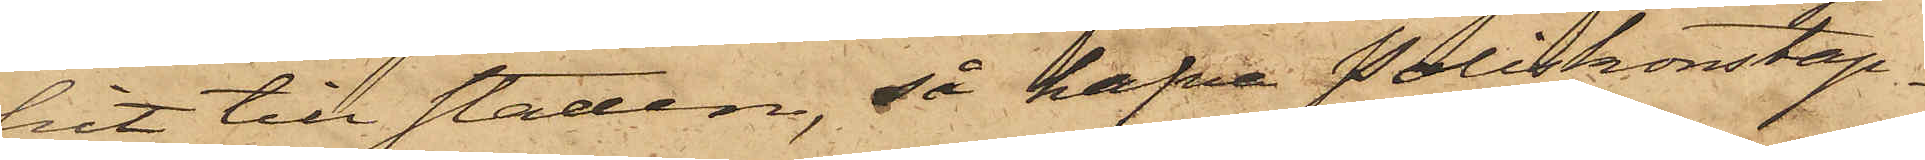hit till staden, så hafva Poliskonstap¬
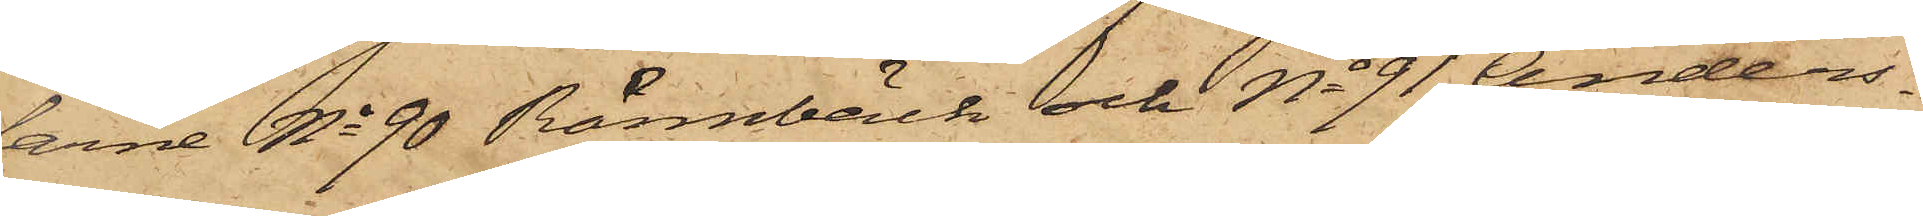arne No 90 Rönnbäck och No 91 Anders¬
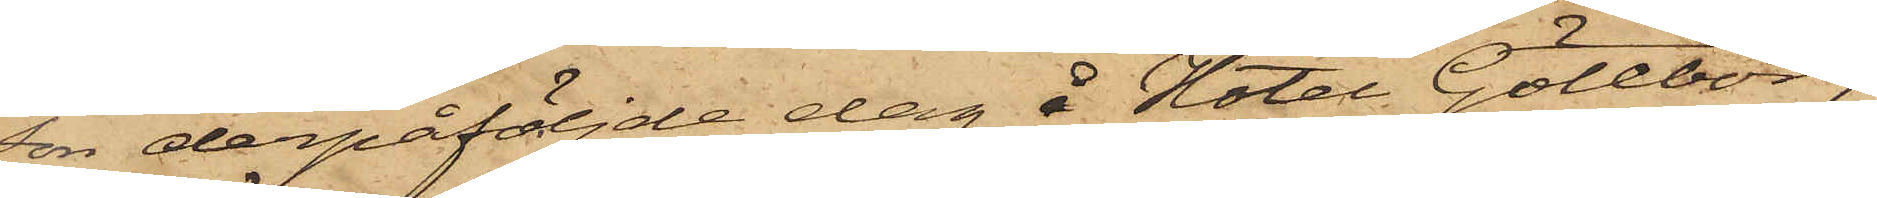son derpåföljde dag å Hotel Göteborg
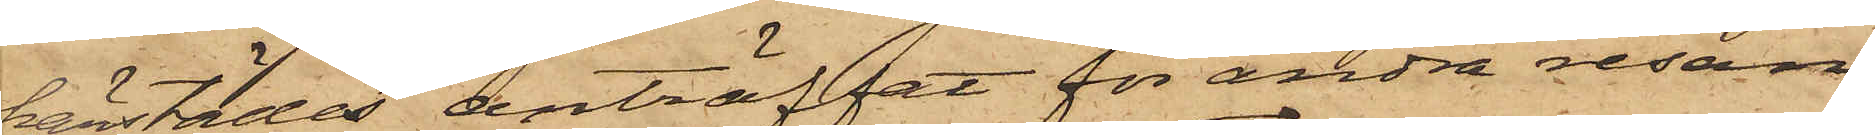härstädes anträffat för andra resan
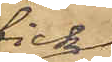fick¬
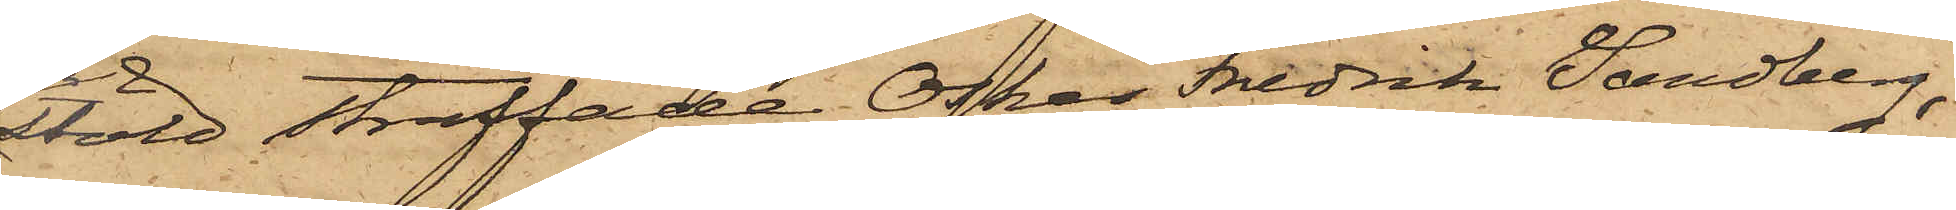stöld straffade Oskar Fredrik Sandberg,
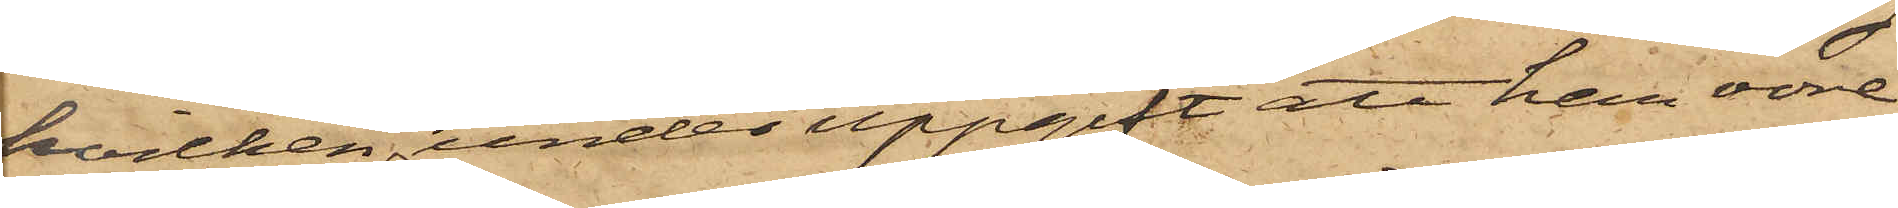hvilken, under uppgift att han vore
